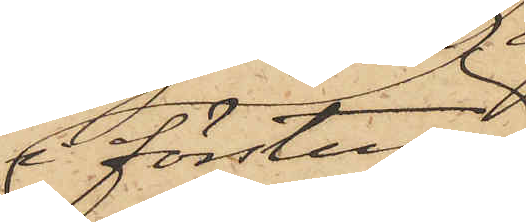i förstugan
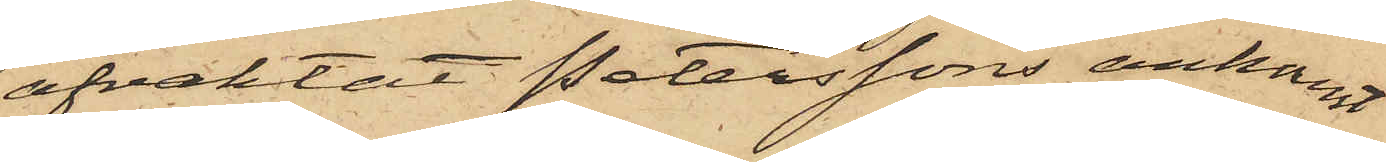afvaktat Peterssons ankomst,
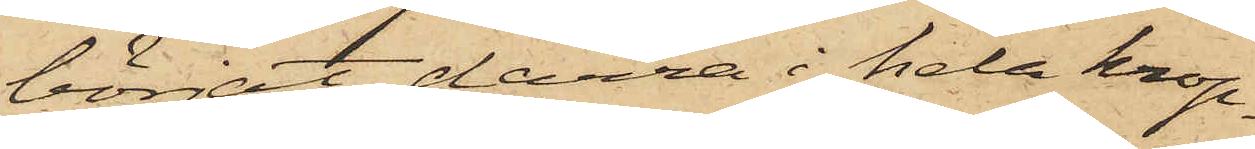börjat darra i hela krop¬
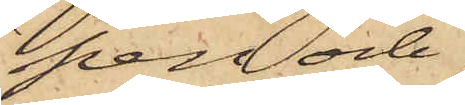pen och
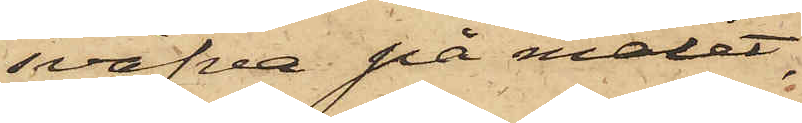sväfva på målet:
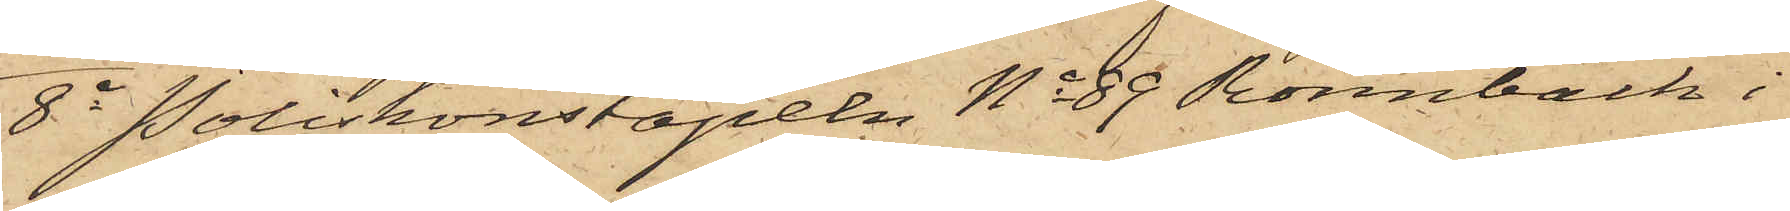8o Poliskonstapeln No 89 Rönnbäck i
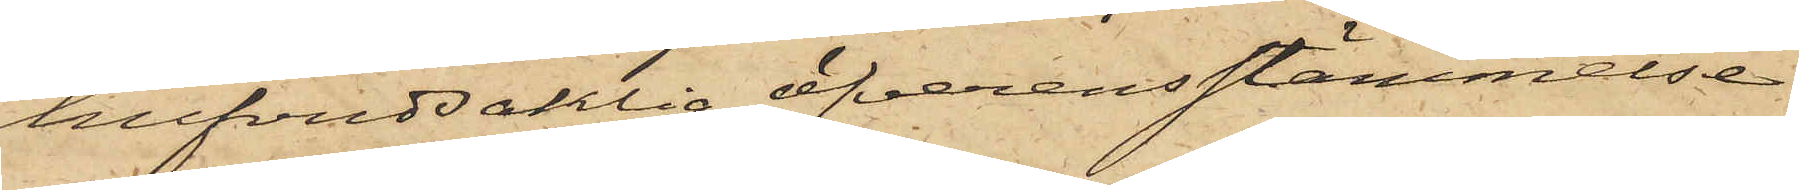hufvudsaklig öfverensstämmelse
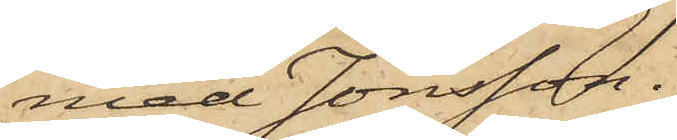med Jönsson.
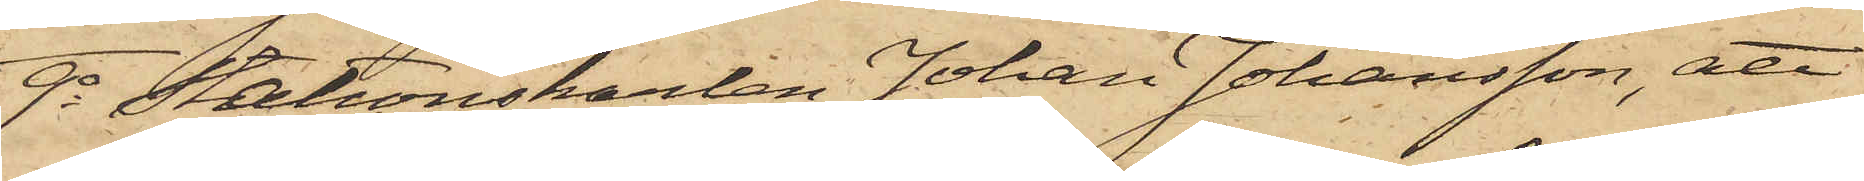9o Stationskarlen Johan Johansson, att
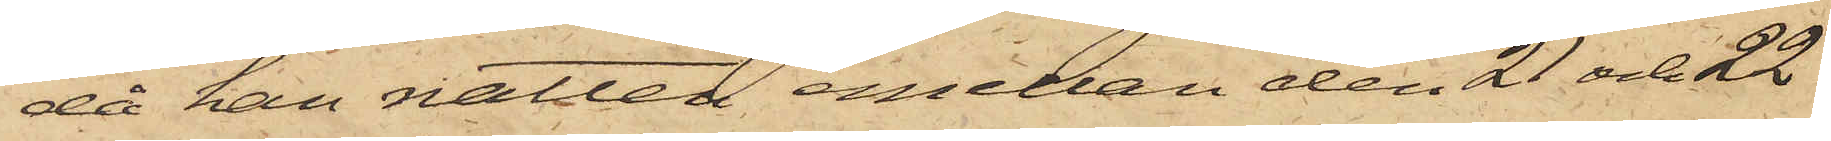då han natten emellan den 21 och 22
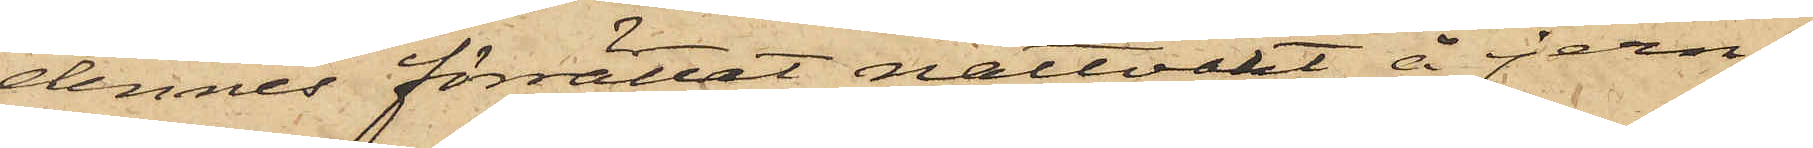dennes förrättat nattvakt å jern¬
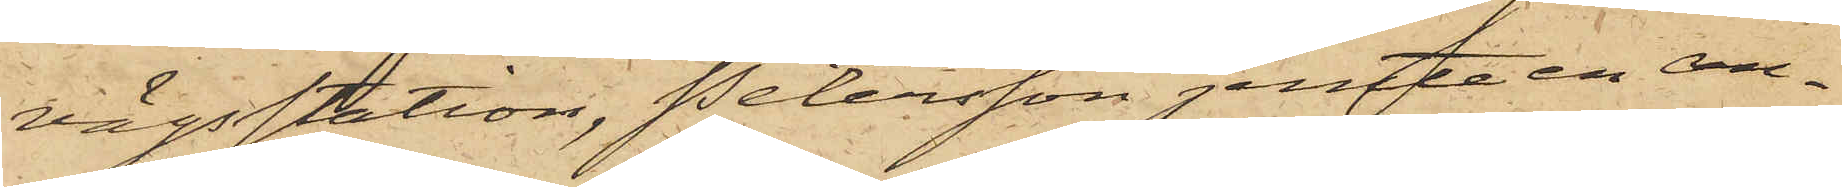vägsstation, Petersson jemte en an¬
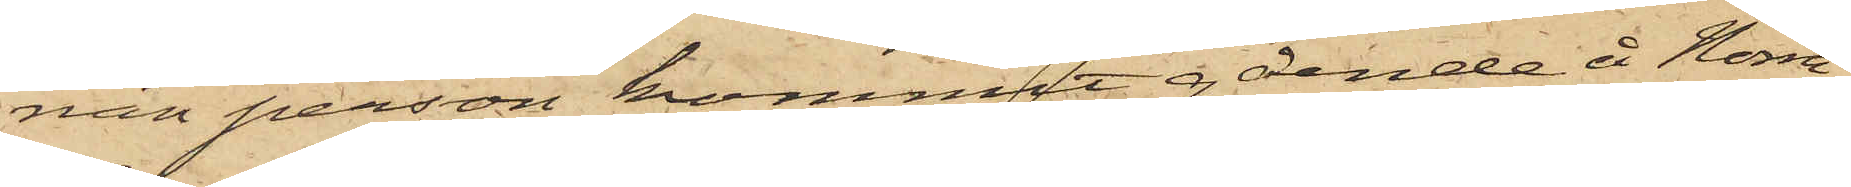nan person kommit gående å Norra
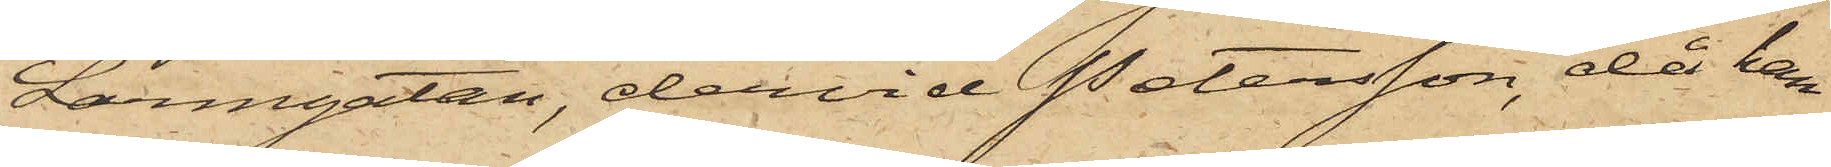Larmgatan, dervid Petersson, då han
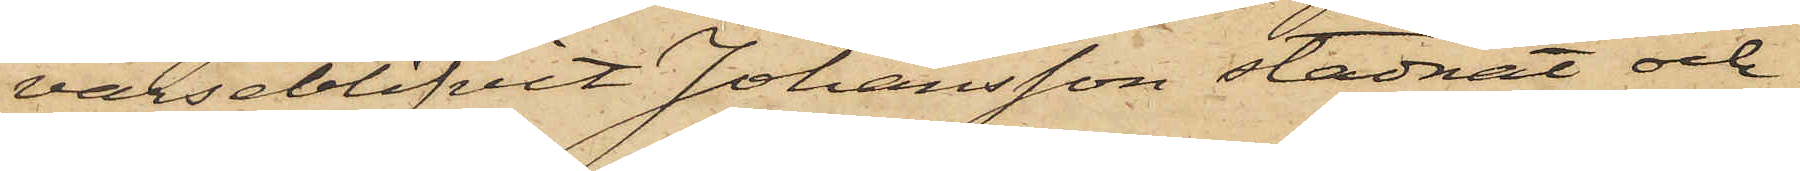varseblifvit Johansson stadnat och
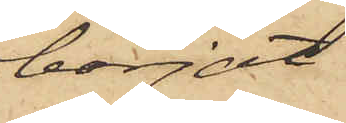börjat
